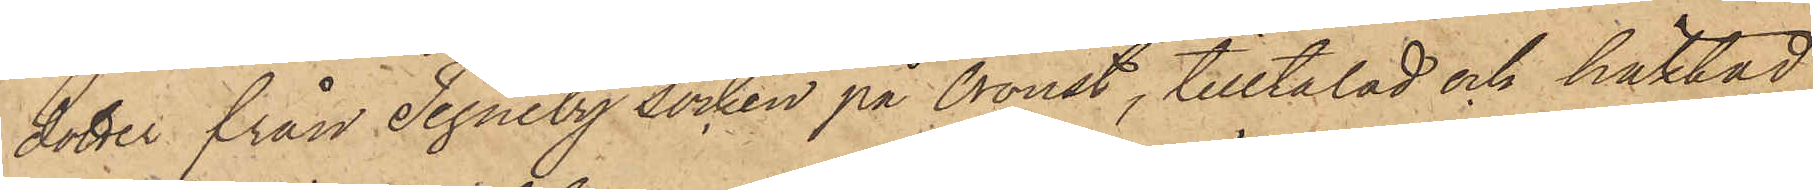dotter från Tegneby socken på Oroust, tilltalad och häktad
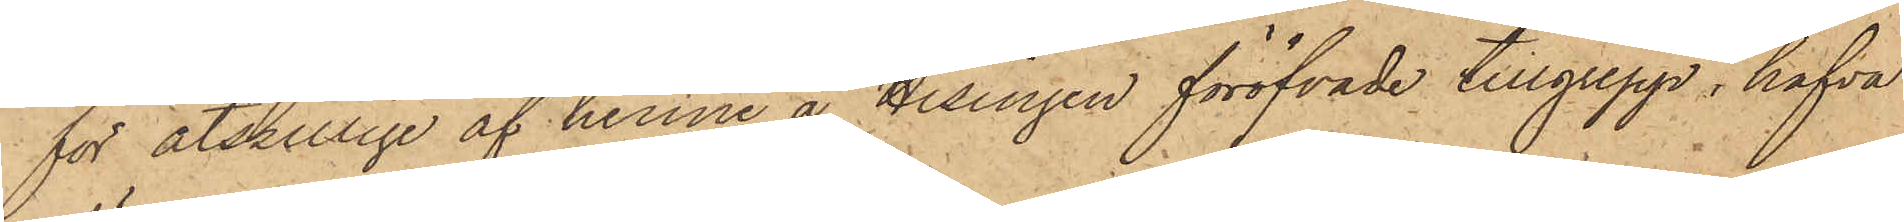för åtskillige af henne å Hisingen föröfvade tillgrepp, hafva
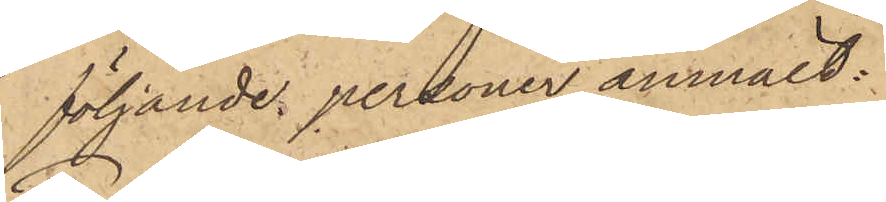följande personer anmält:
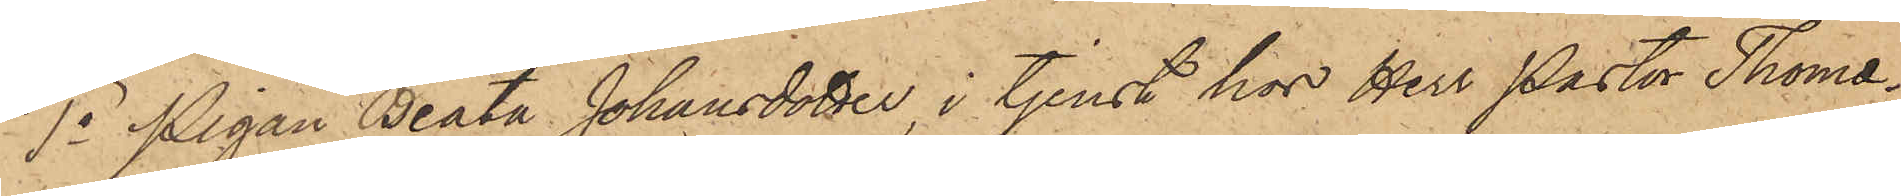1o Pigan Beata Johansdotter, i tjenst hos Herr Pastor Thomæ¬
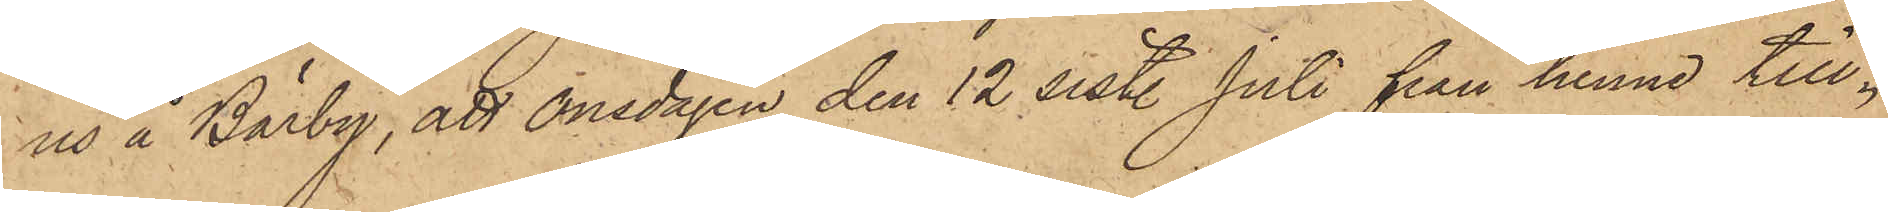us å Bärby, att onsdagen den 12 sist. Juli från henne till¬
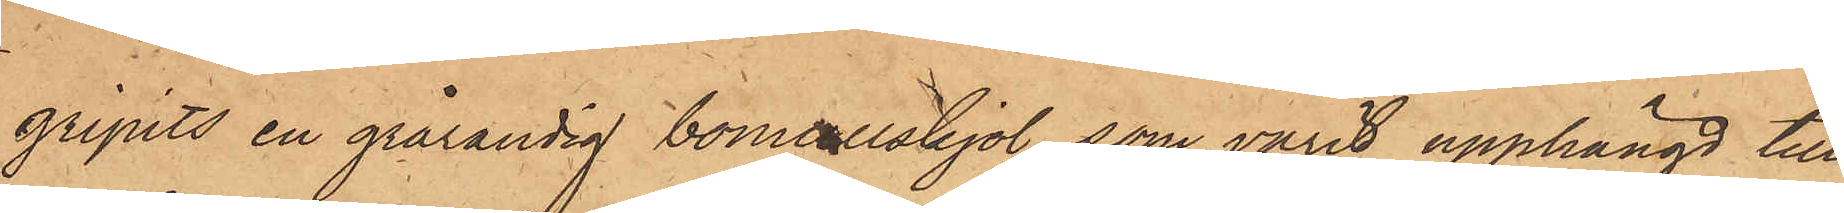gripits en grårandig bomullskjol, som varit upphängd till
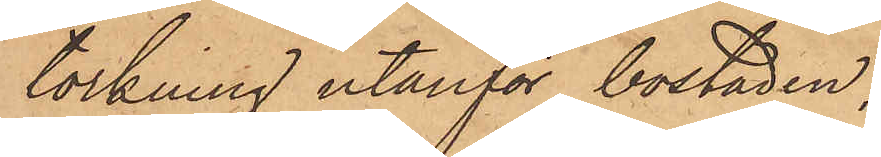torkning utanför bostaden;
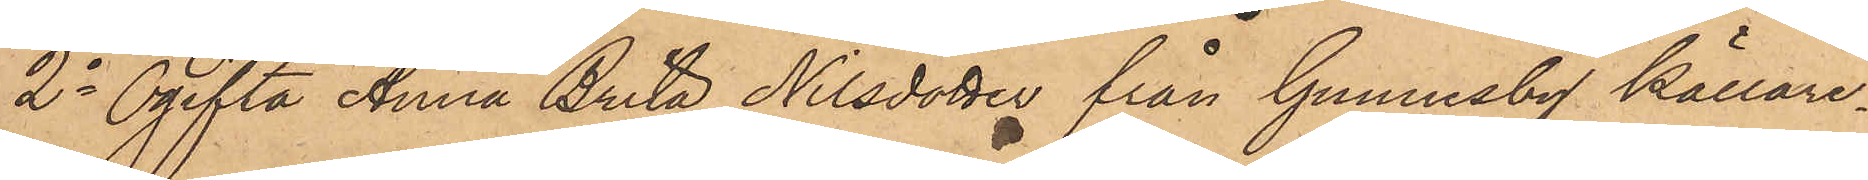2o Ogifta Anna Brita Nilsdotter från Gunnesby Källare¬
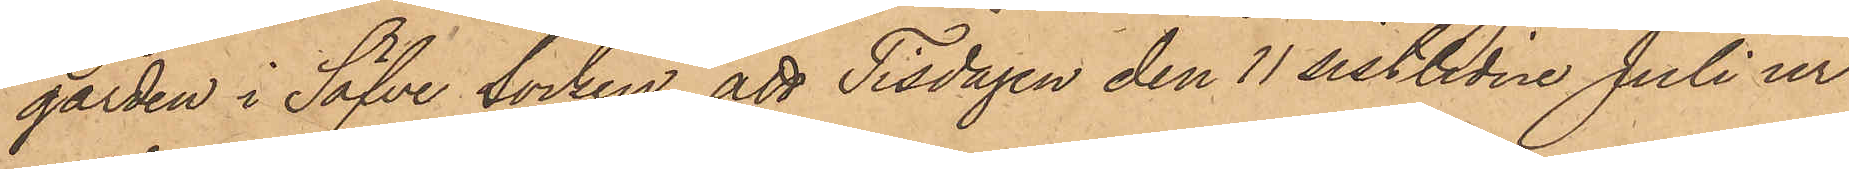gården i Säfve Socken, att Tisdagen den 11 sistlidne Juli ur
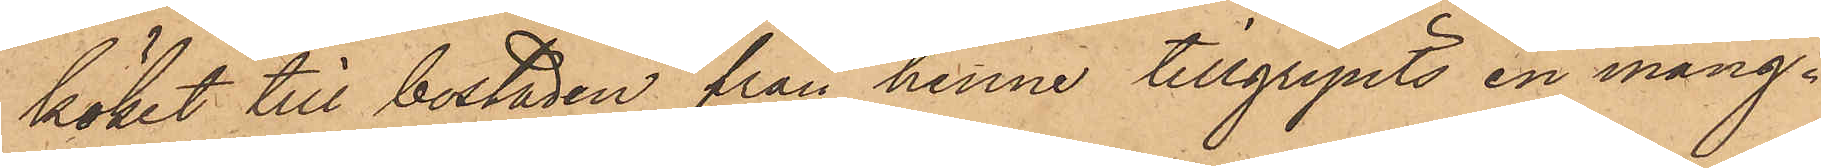köket till bostaden från henne tillgripits en mång¬
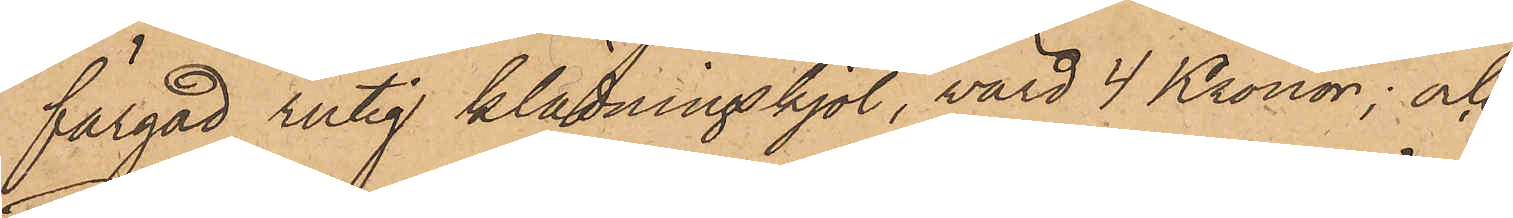färgad rutig klädningskjol, värd 4 Kronor; och
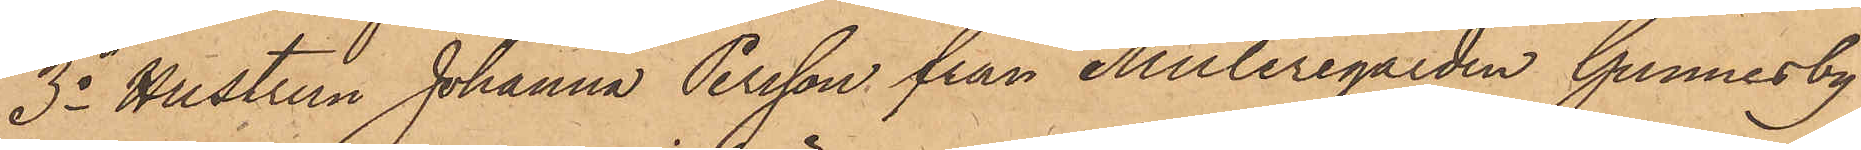3o Hustrun Johanna Persson från Muleregården Gunnesby
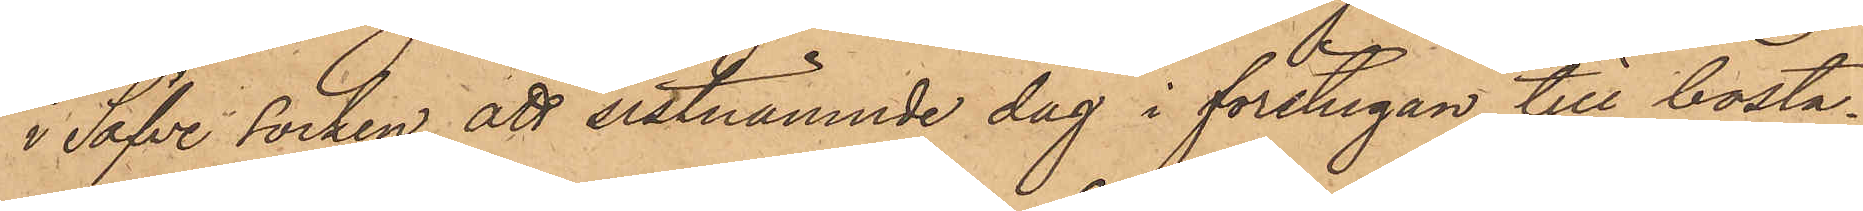i Säfve socken att sistnämnde dag i förstugan till bosta¬
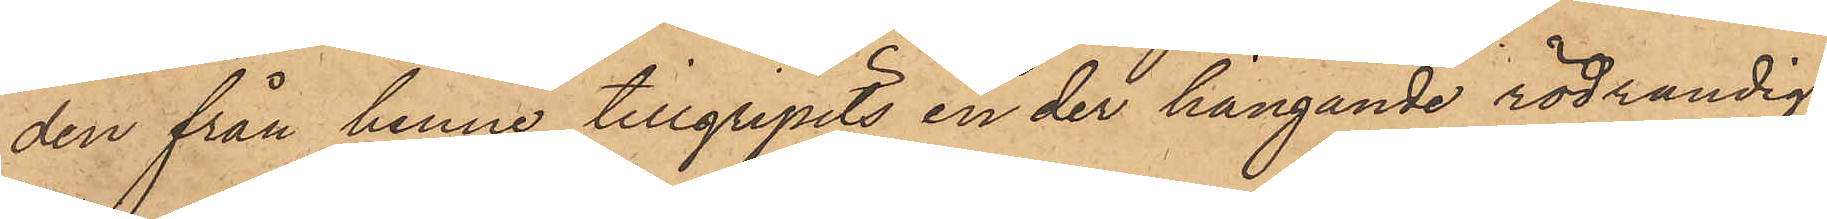den från henne tillgripits en der hängande rödrandig
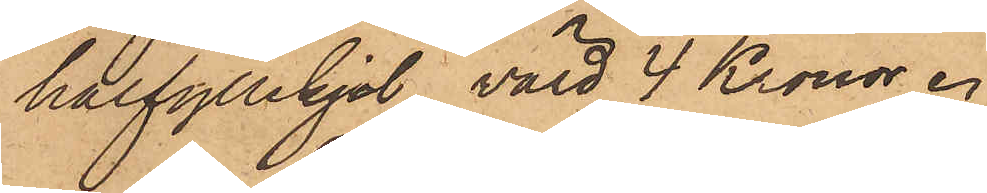halfyllekjol, värd 4 Kronor.
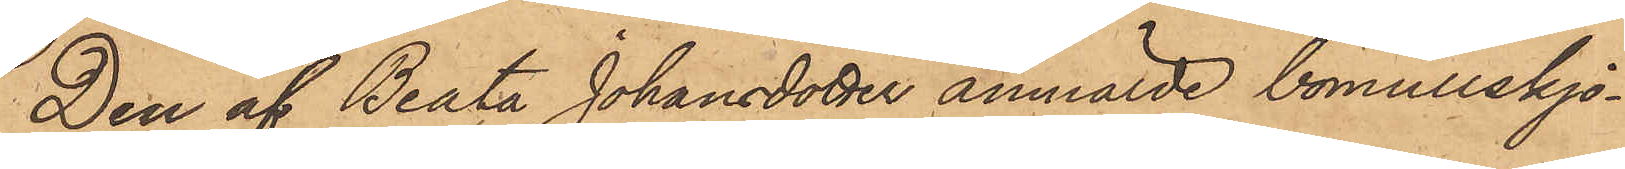Den af Beata Johansdotter anmälde bomullskjo¬
